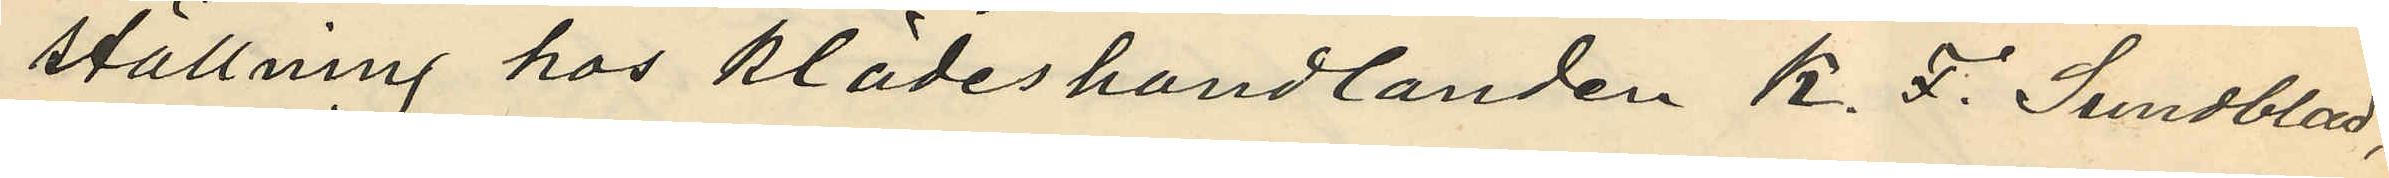ställning hos klädeshandlanden K. F. Sundblad,
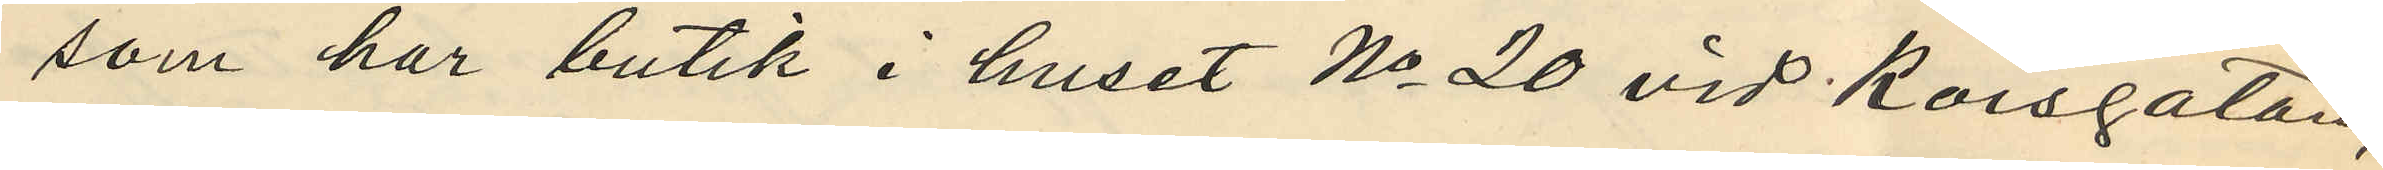som har butik i huset No 20 vid Korsgatan,
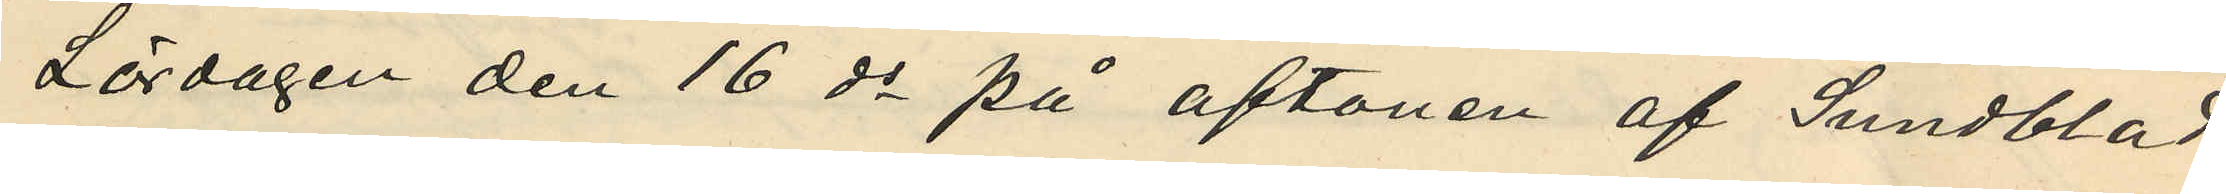Lördagen den 16 ds på aftonen af Sundblad
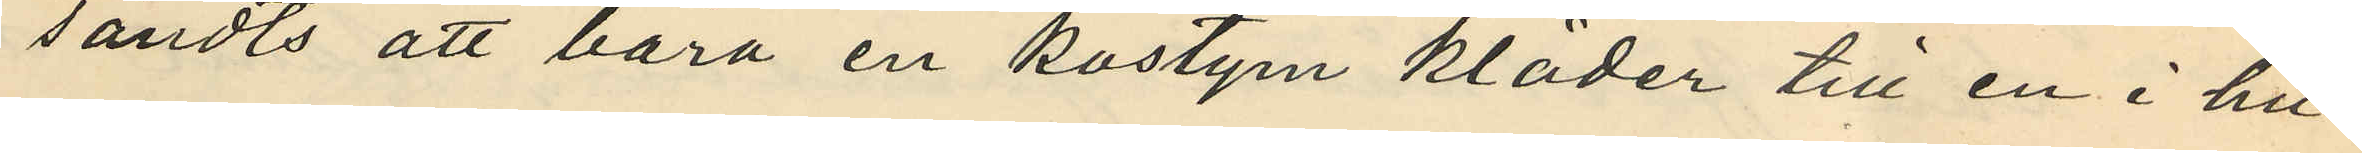sändts att bära en kostym kläder till en i hu¬
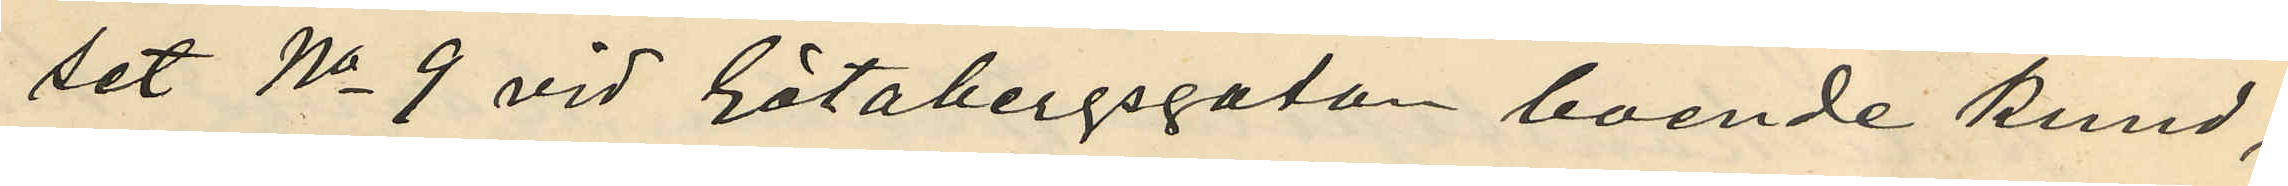set No 9 vid Götabergsgatan boende kund,
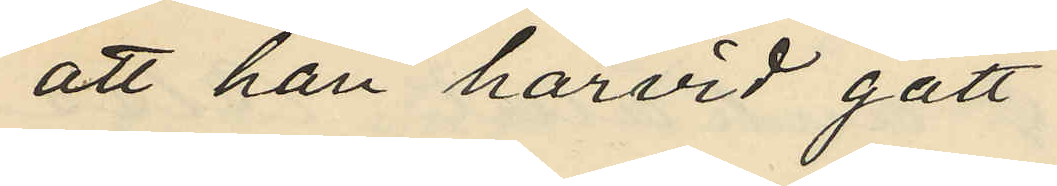att han härvid gått
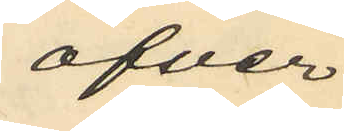öfver
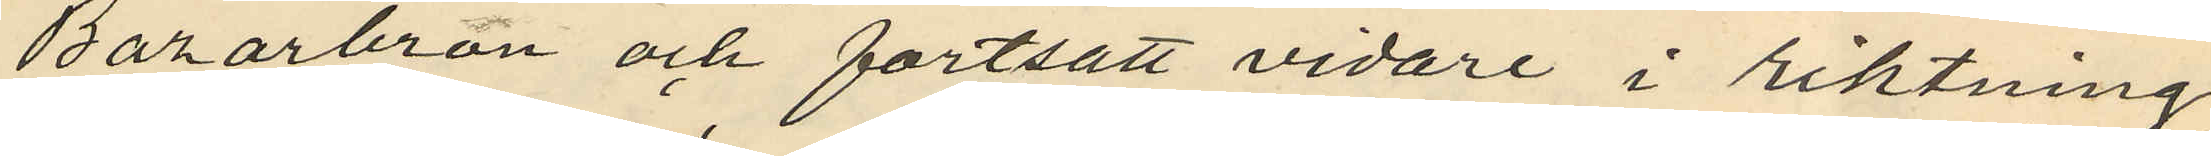Bazarbron och fortsatt vidare i riktning
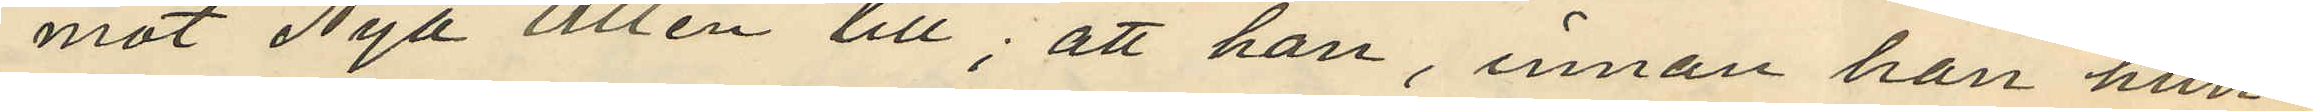mot Nya Allén till; att han, innan han hun¬
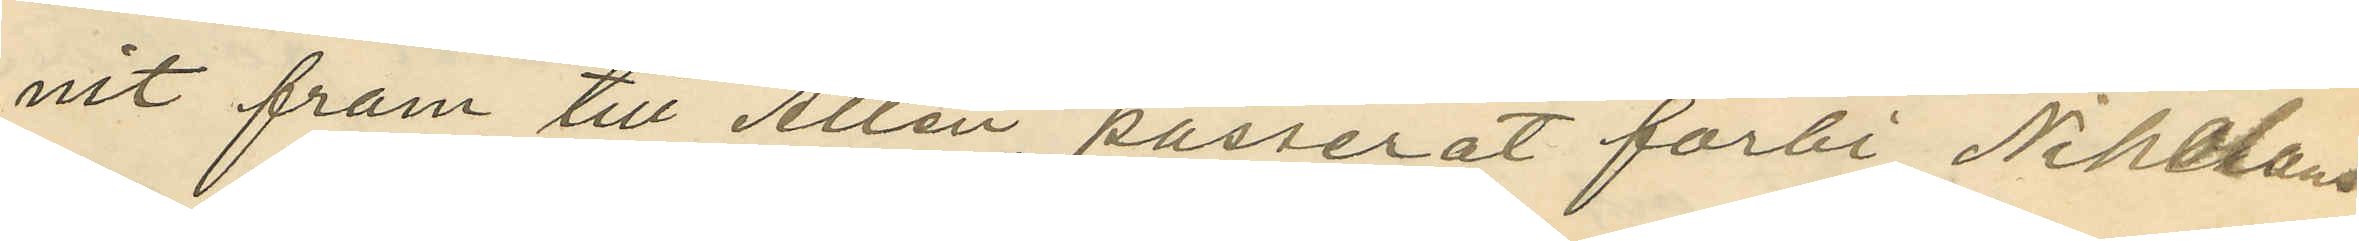nit fram till Allén, passerat förbi Nikolaus
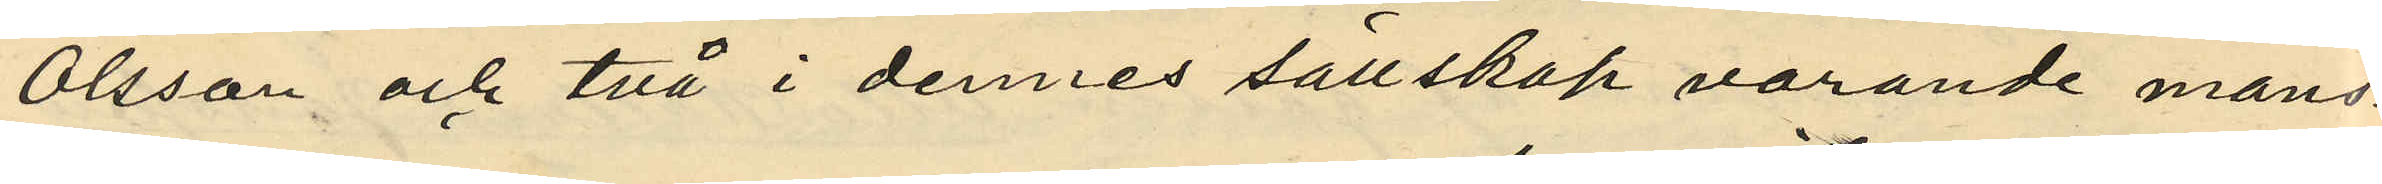Olsson och två i dennes sällskap varande mans¬
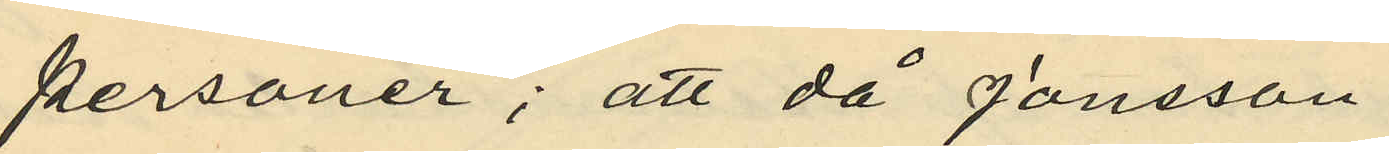personer; att då Jonsson
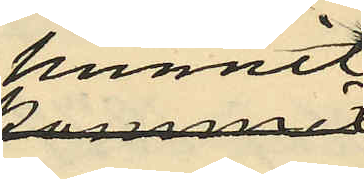kommmit
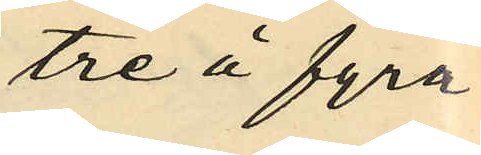tre å fyra
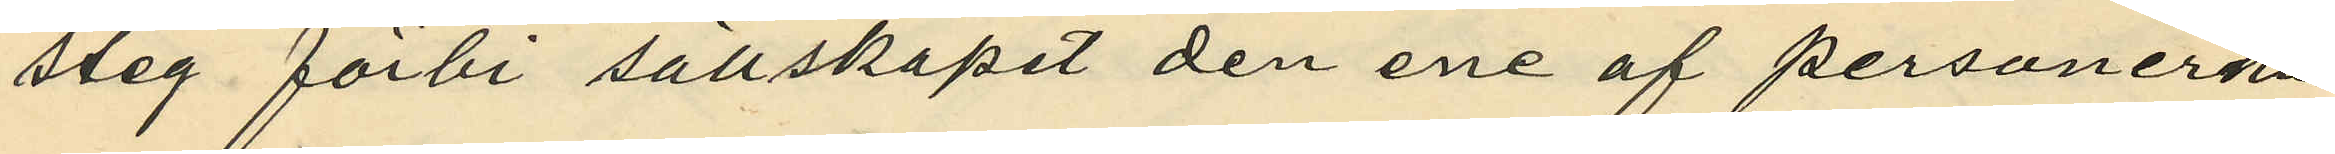steg förbi sällskapet den ene af personerna
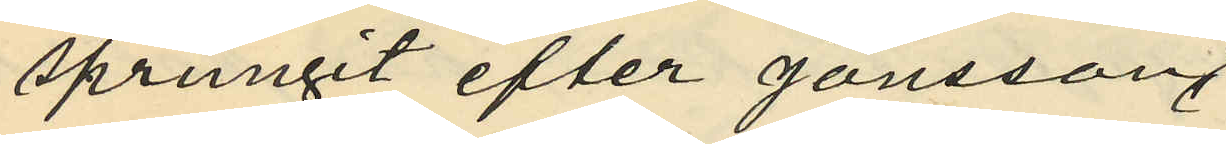sprungit efter Jonsson
